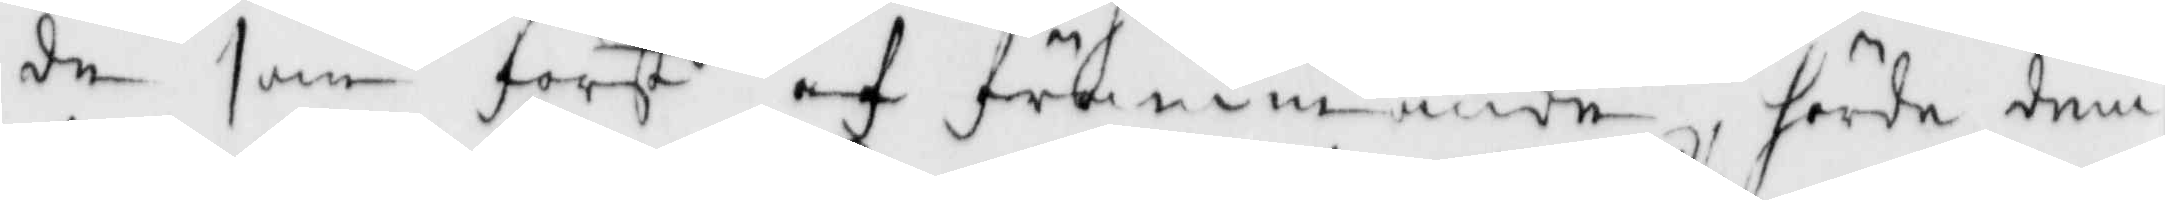de som först af främmande hörde dem
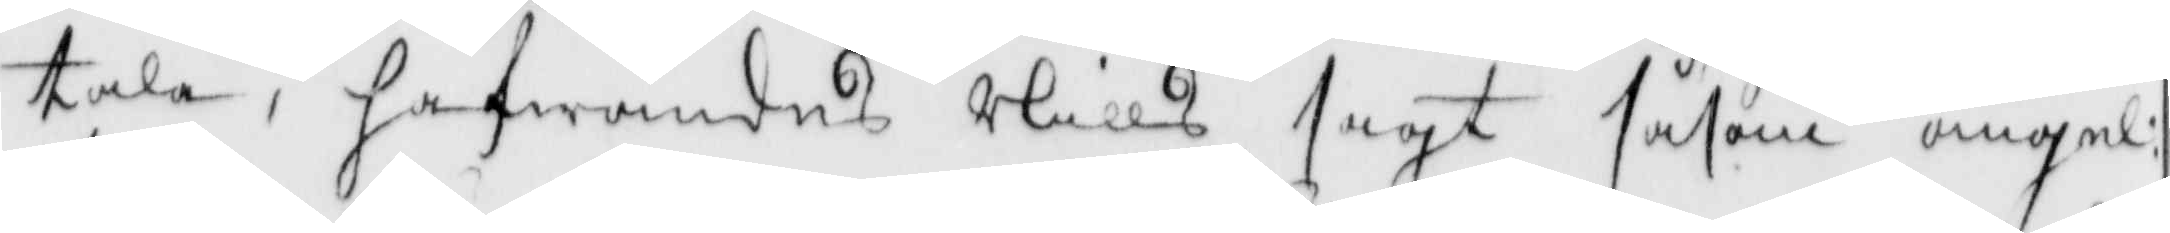tala; hafwandes Nills sagt såsom ängel:
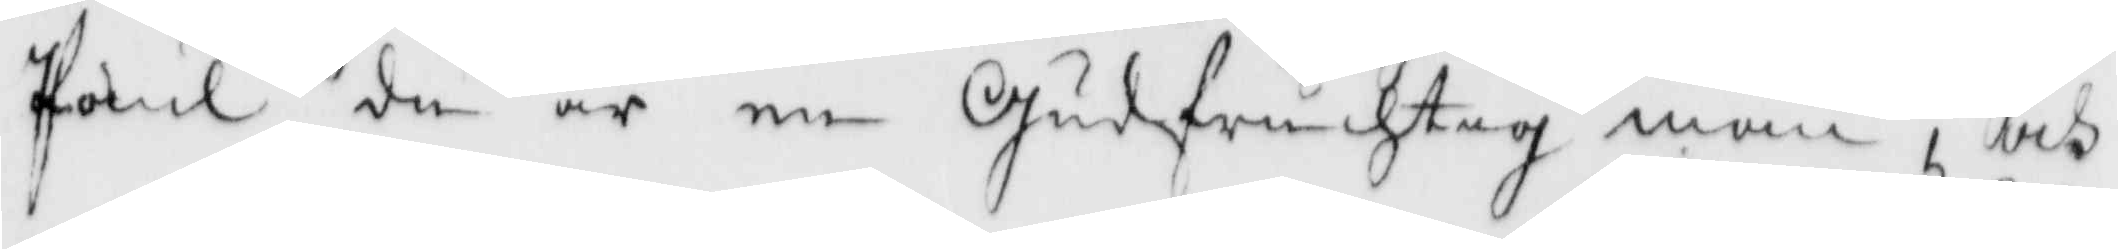Paul du är en Gudfruchtig man, och 
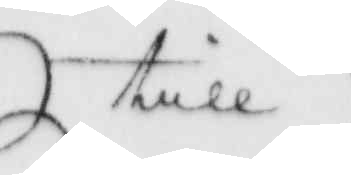till
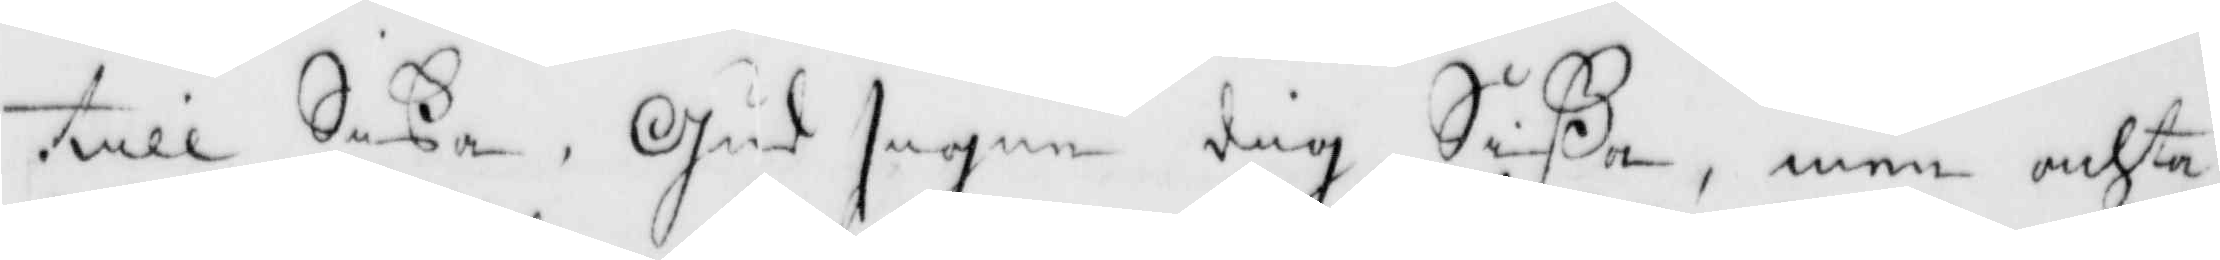till Sißa, Gud signe dig Sißa, men achta
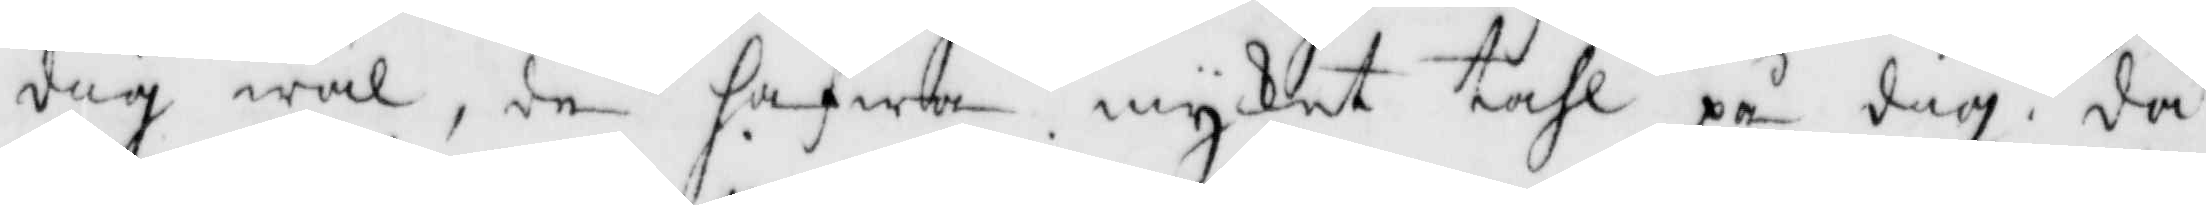dig wäl, de hafwa mycket tahl på dig, då
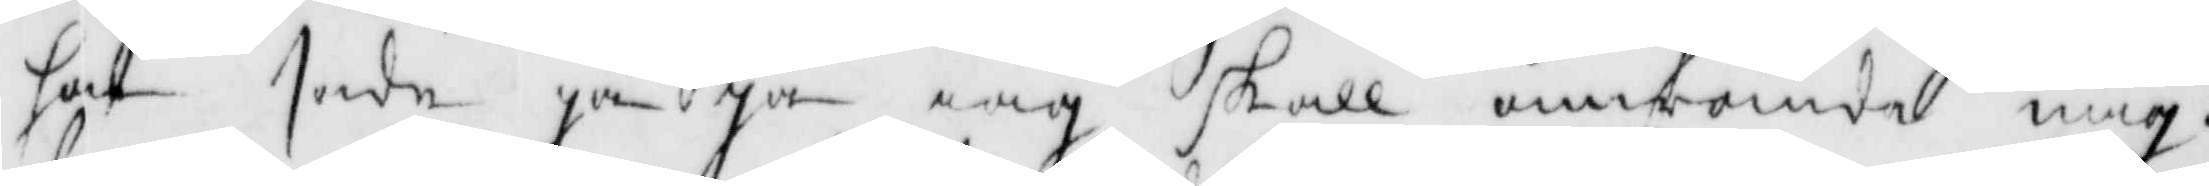hon sade ja ja iag skall omwända mig,
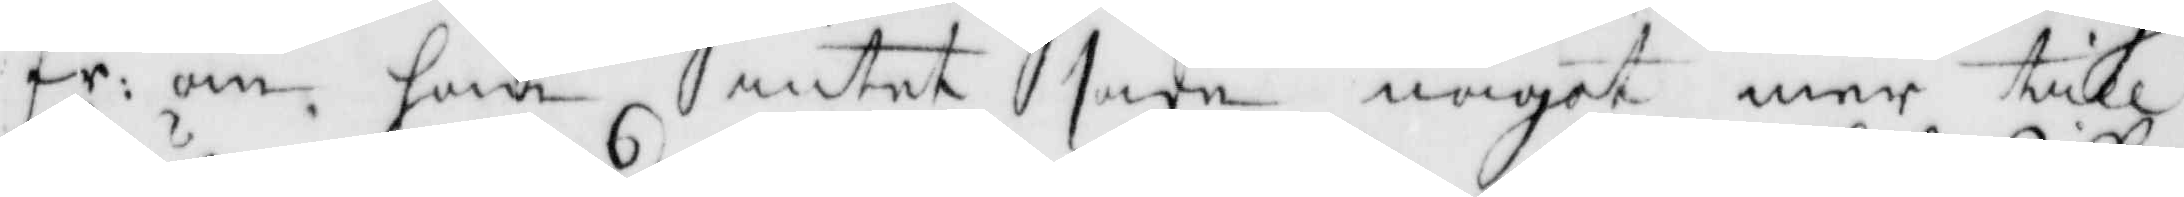fr: om han intet sade något mer till
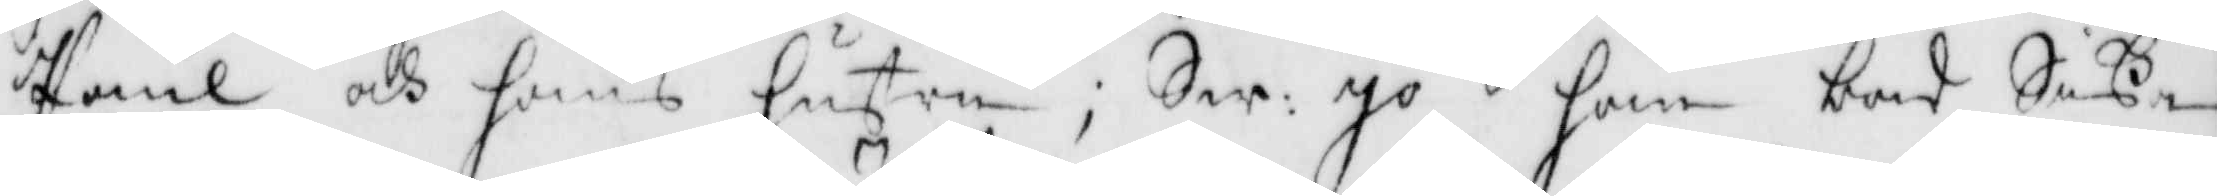Paul och hans hustru; Sw: Ja han bad Sißa
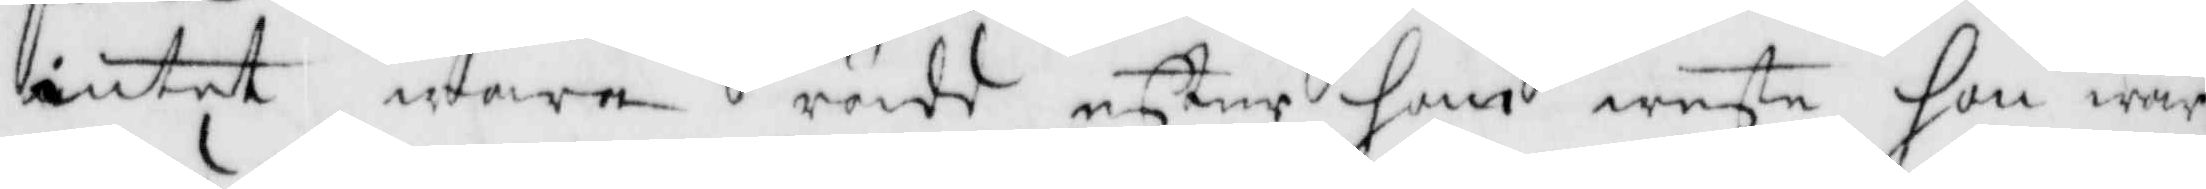intet wara rädd efter han wete hon war
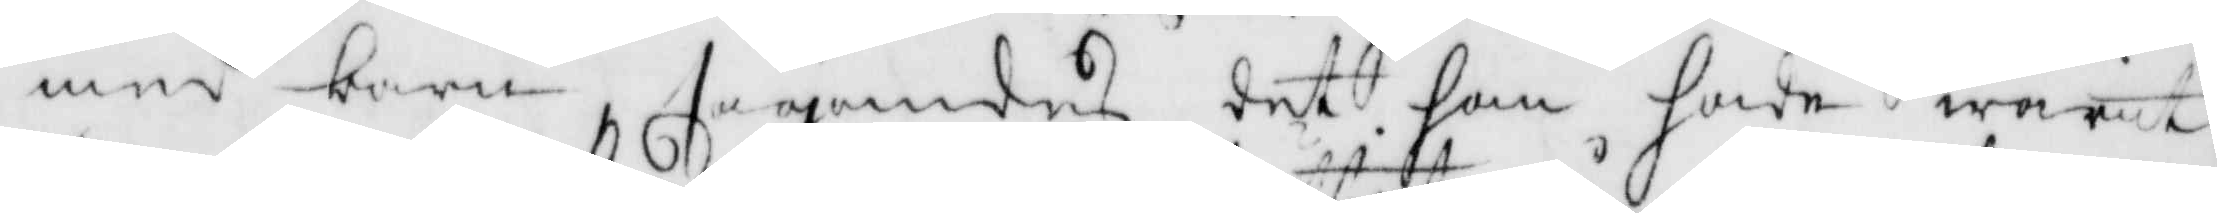med barn segandes det han hade warit
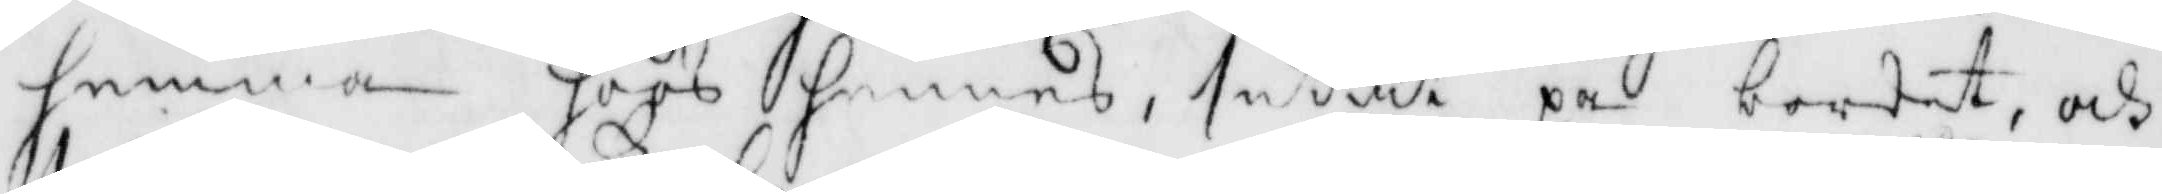hemma hoos hennes, suttit på bordet, och
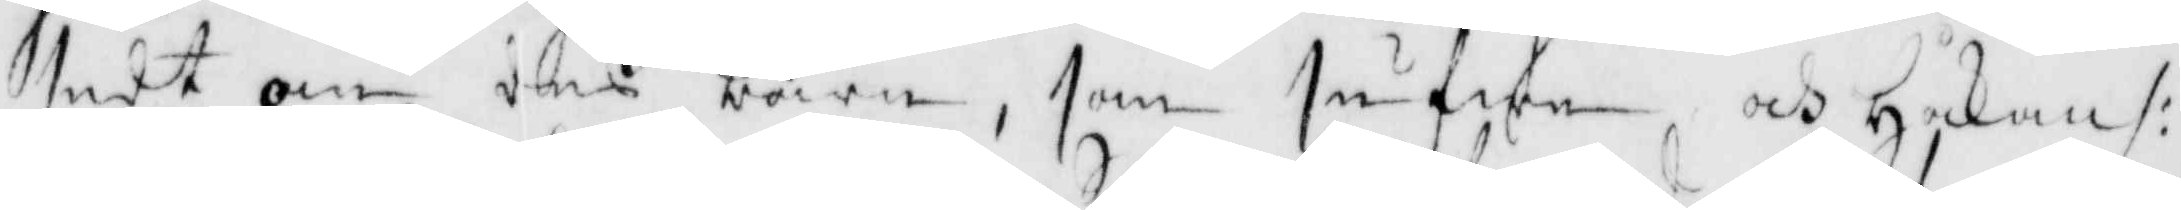sedt om deß barn, som sufwe och Håkan /:
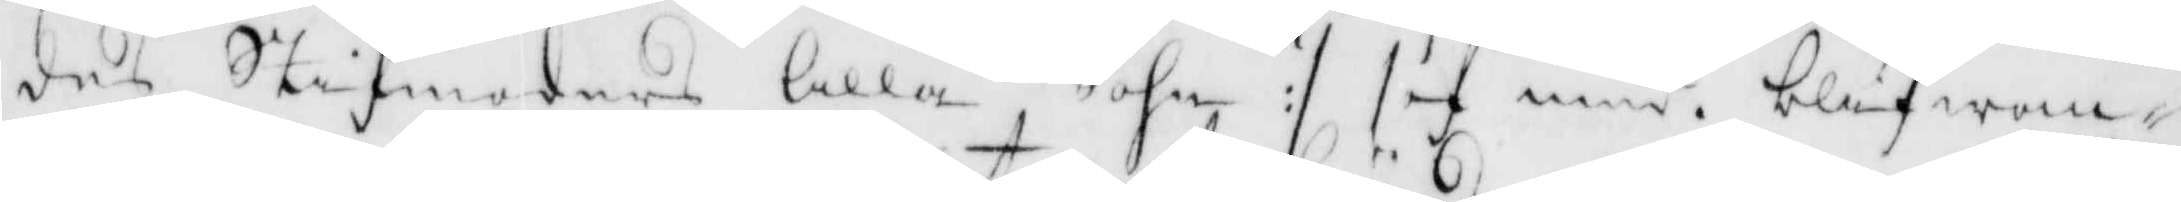des Stifmoders lilla Sohn :/ sof med, blifwan¬
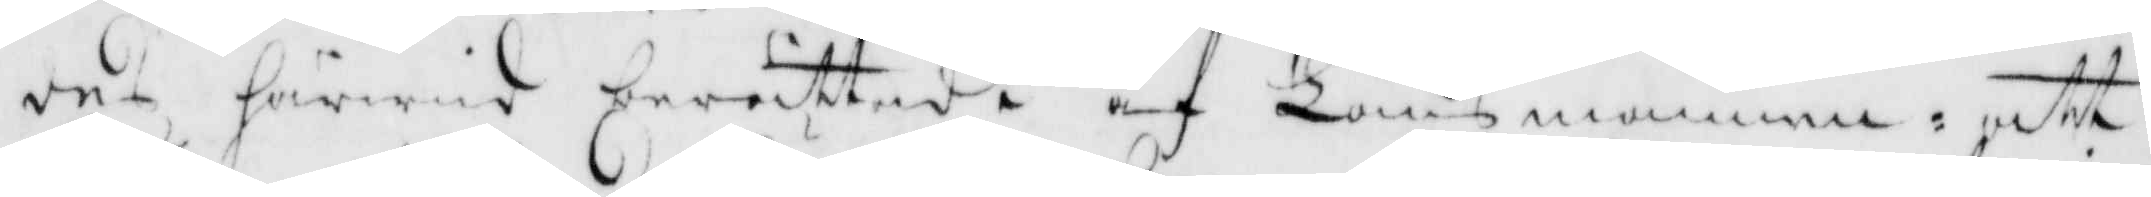des härwid berättadt af Länsmannen: att
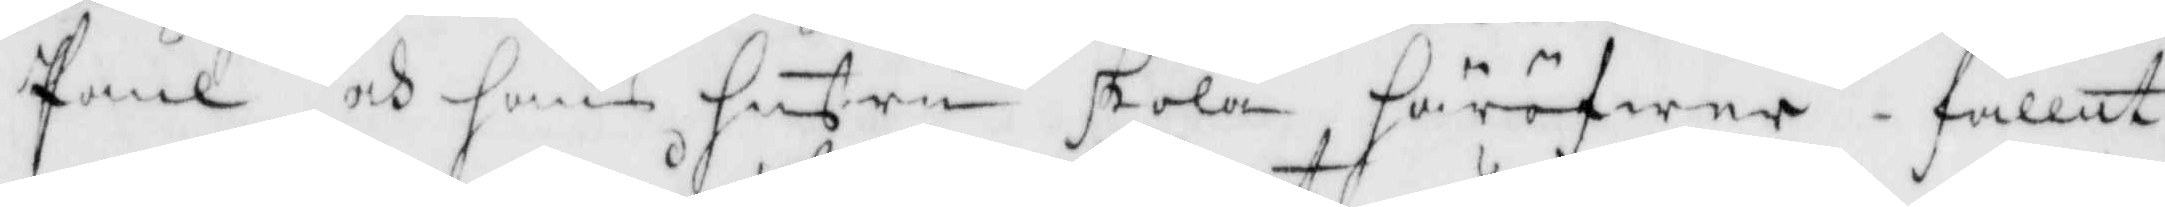Paul och hans hustru skola häröfwer fallit
